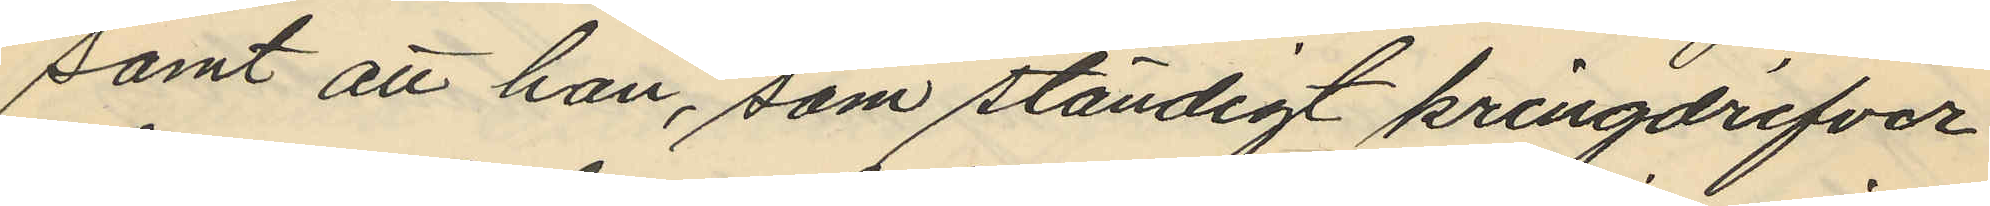samt att han, som ständigt kringdrifver
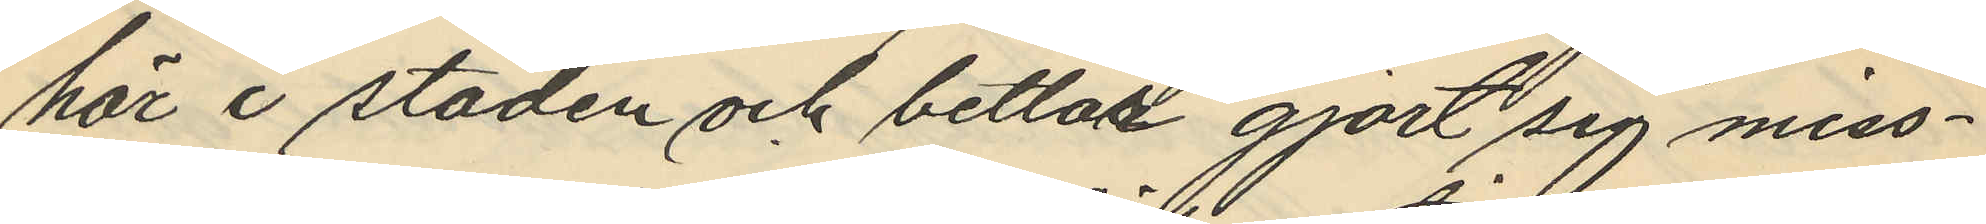här i staden och betlar gjort sig miss¬
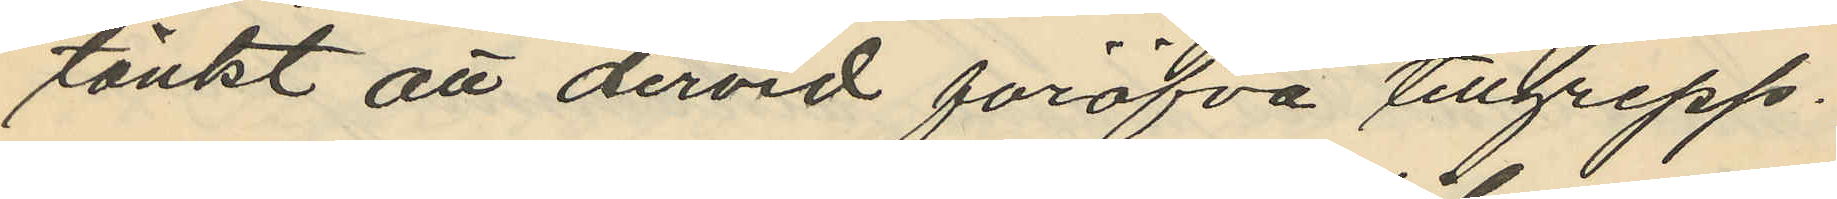tänkt att dervid föröfva tillgrepp.
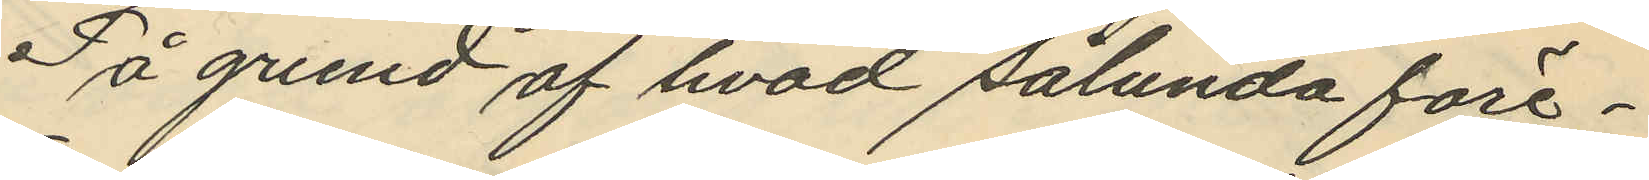På grund af hvad sålunda före¬
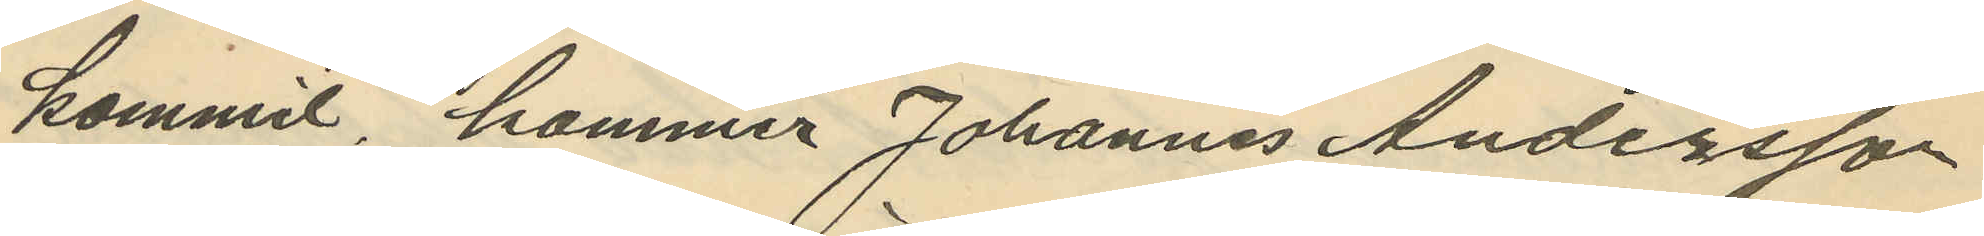kommit, kommer Johannes Andersson
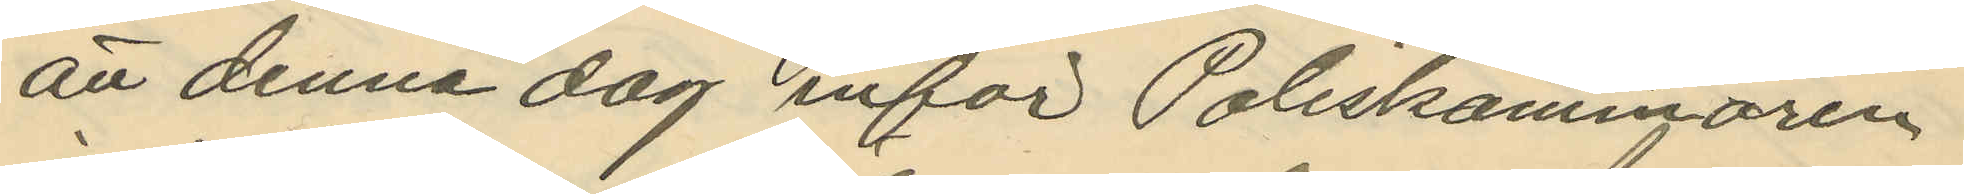att denna dag inför Poliskammaren
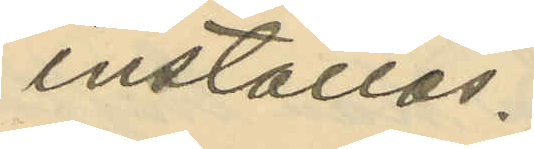inställas.
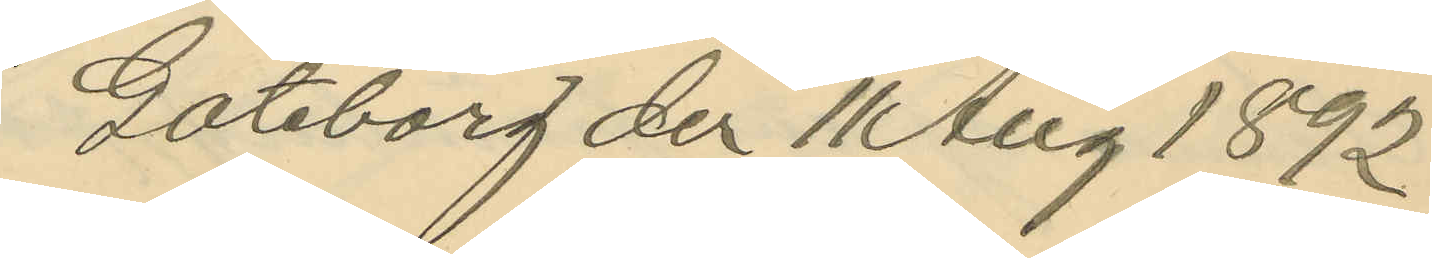Göteborg den 11 Aug 1892.
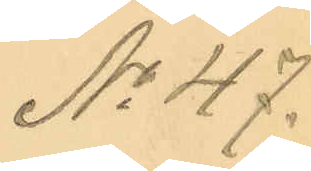No 47.
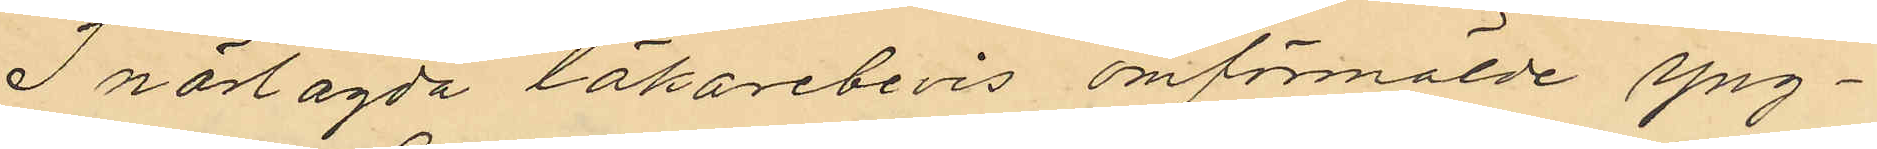I närlagda läkarebevis omförmälde yng¬
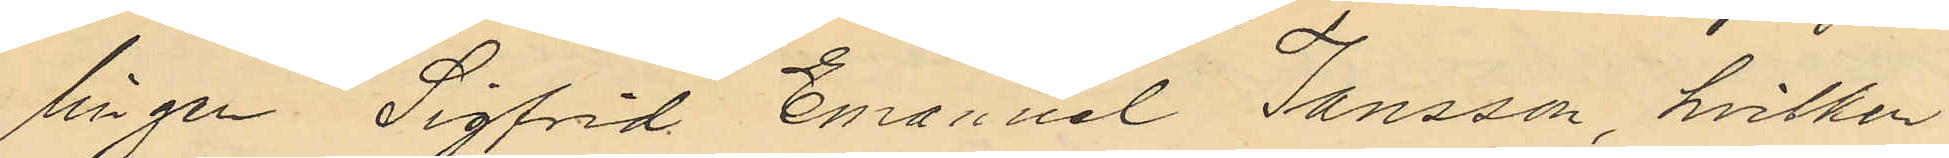lingen Sigfrid Emanuel Jansson, hvilken
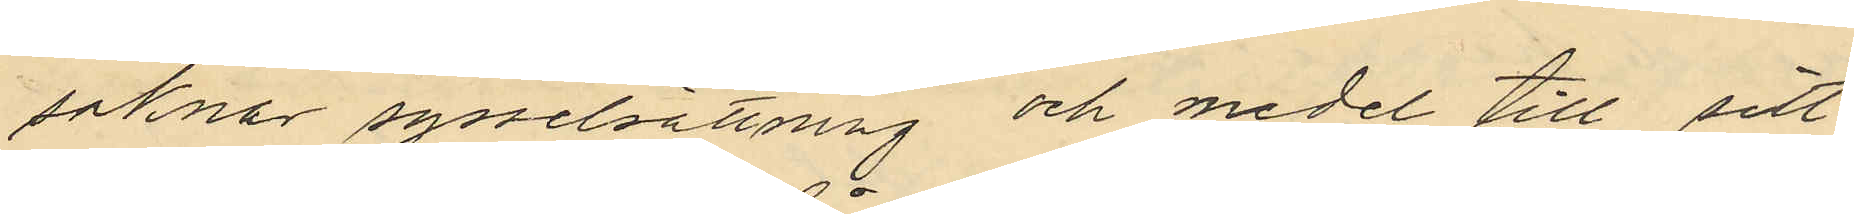saknar sysselsättning och medel till sitt
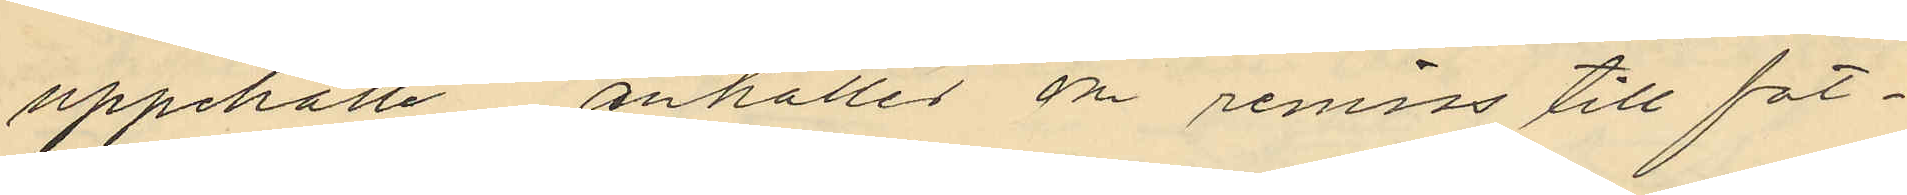uppehälle anhålles om remiss till fat¬
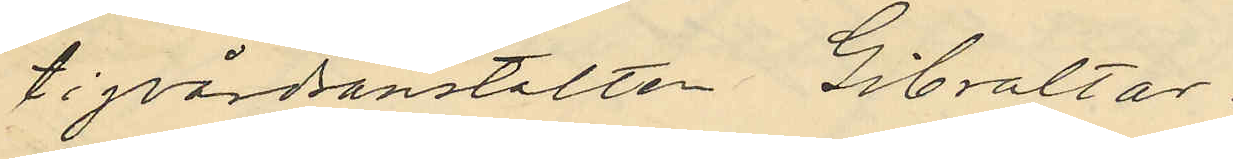tigvårdsanstalten Gibraltar.
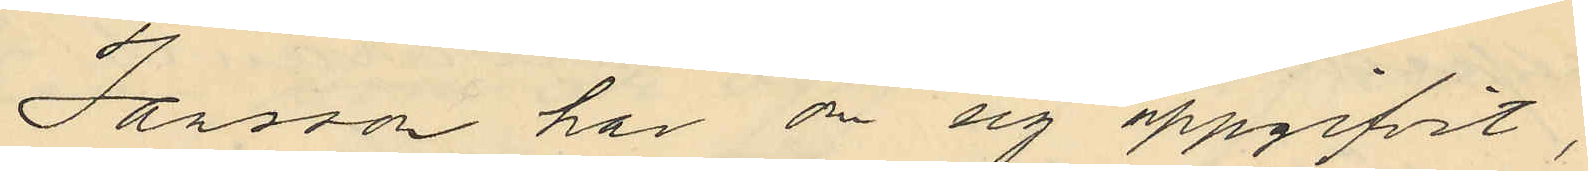Jansson har om sig uppgifvit,
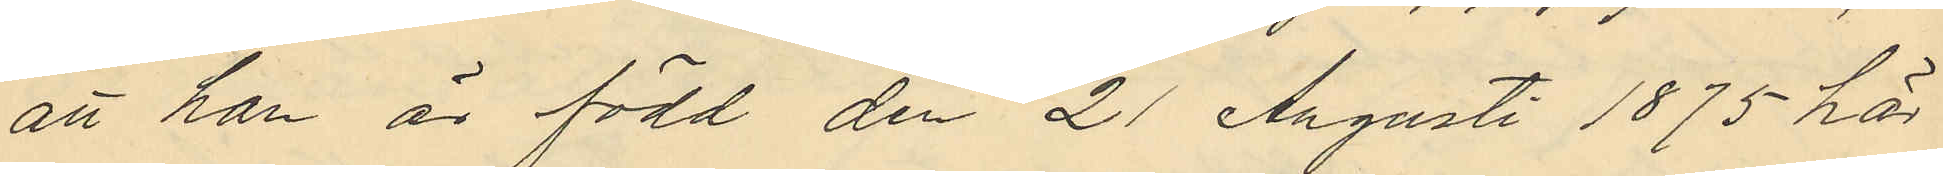att han är född den 21 Augusti 1875 här
